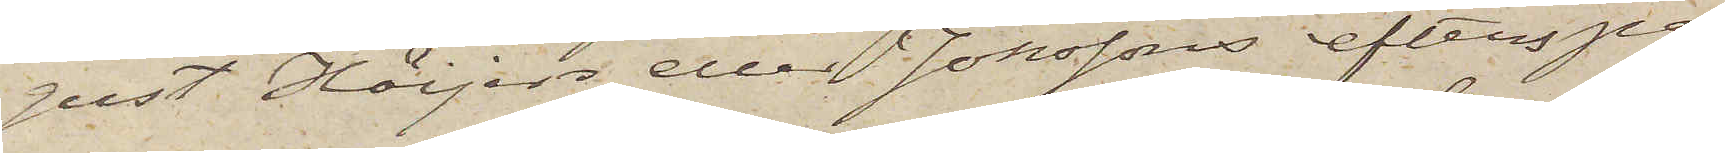gust Höijers eller Jonssons efterspa¬
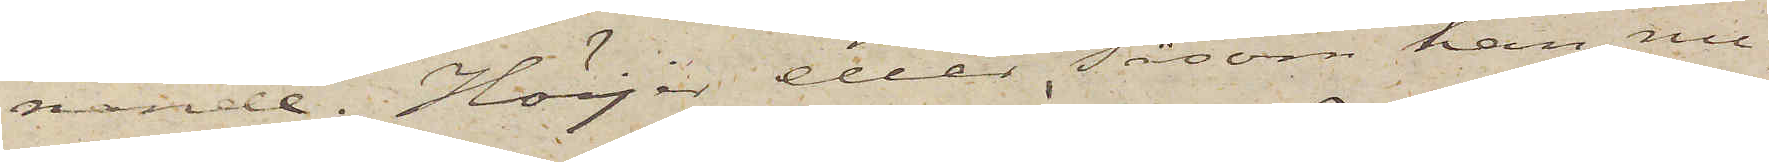nande. Höijer eller, såsom han nu¬
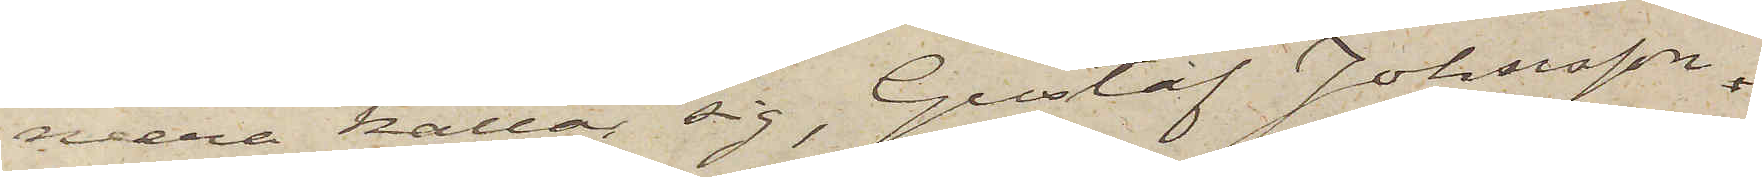mera kallar sig, Gustaf Johnsson,
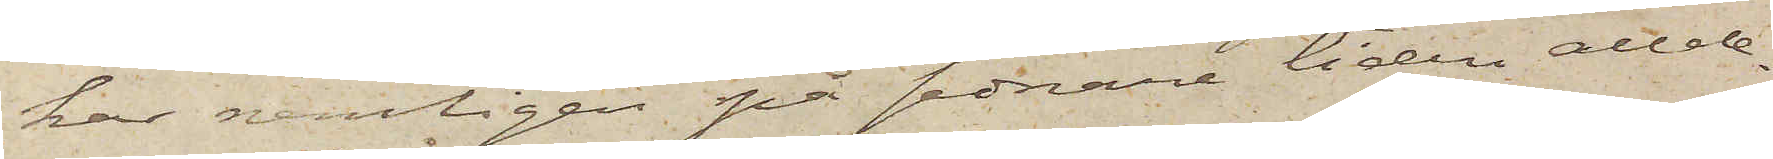har nemligen på sednare tiden allde¬
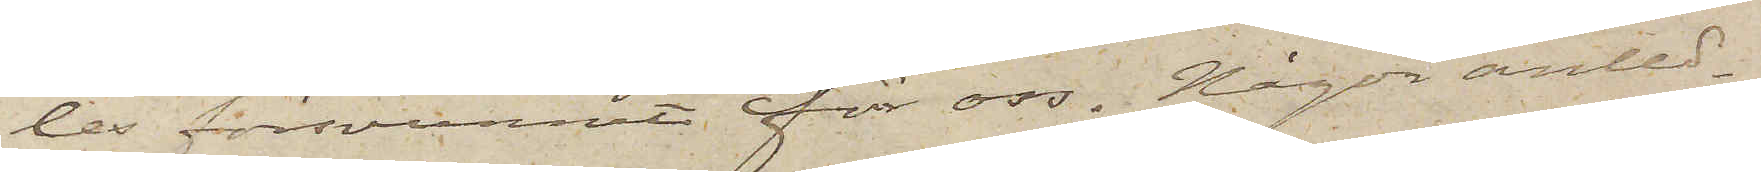les försvunnit för oss. Någon anled¬
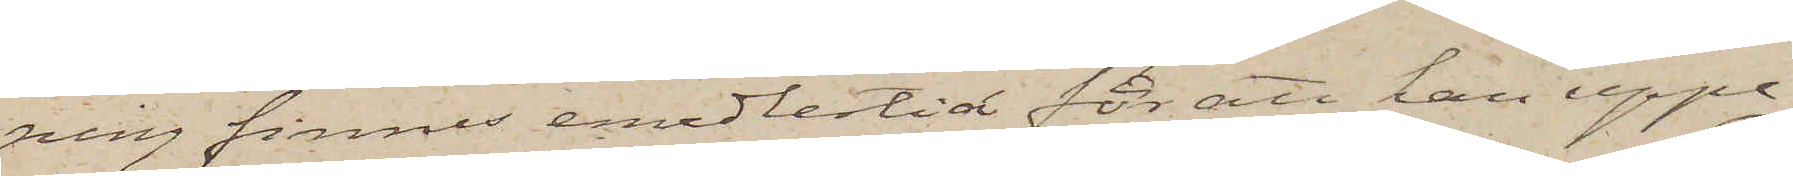ning finnes emedlertid för att han uppe¬
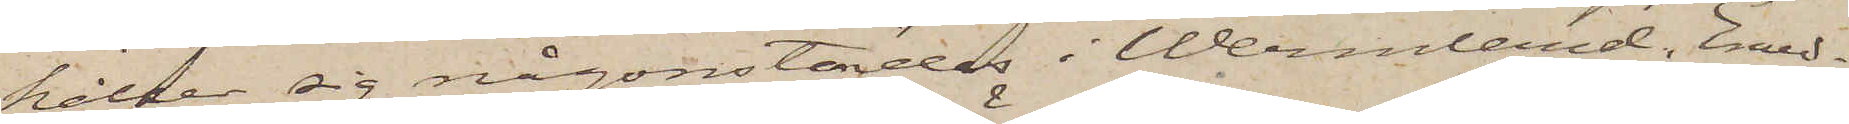håller sig någonstädes i Wermland. Emed¬
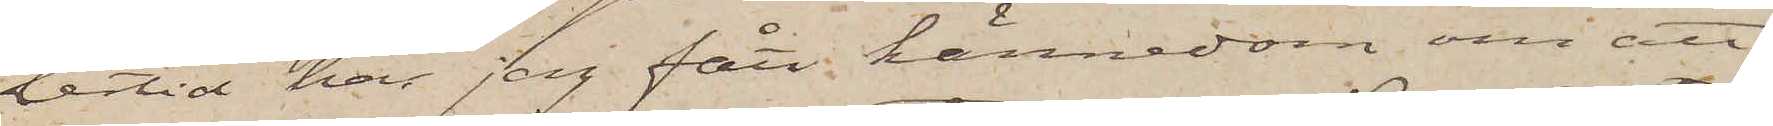lertid har jag fått kännedom om att
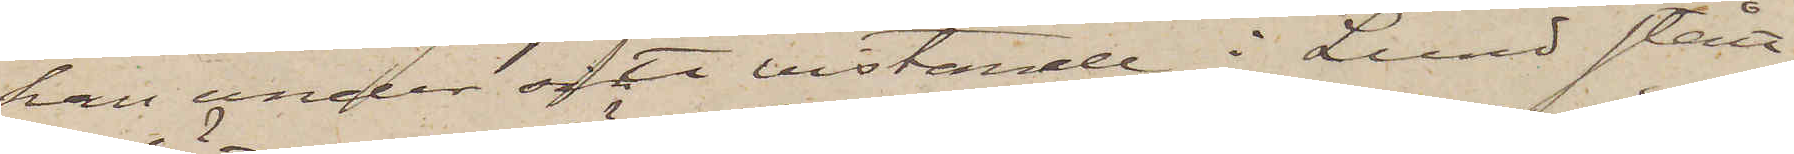han under ofta vistande i Lund stått
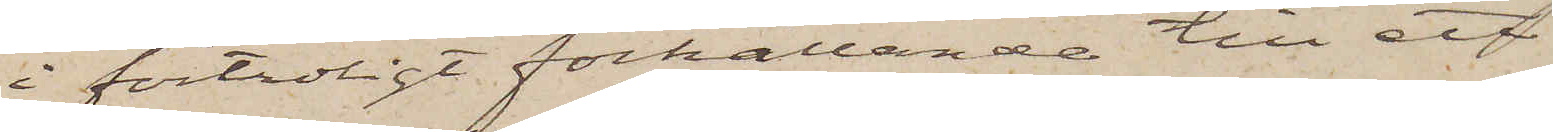i förtroligt förhållande till ett
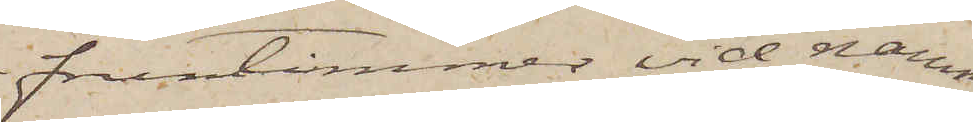fruntimmer vid namn
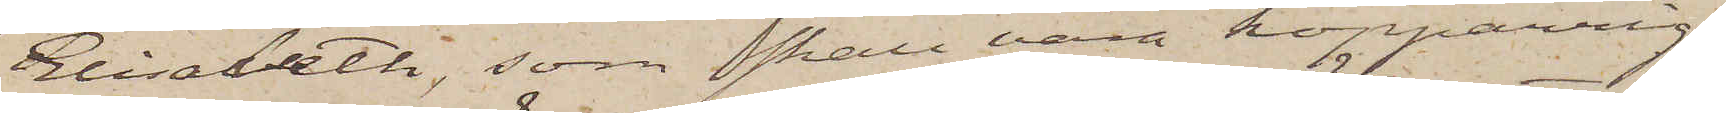Elisabeth, som skall vara koppärrig,
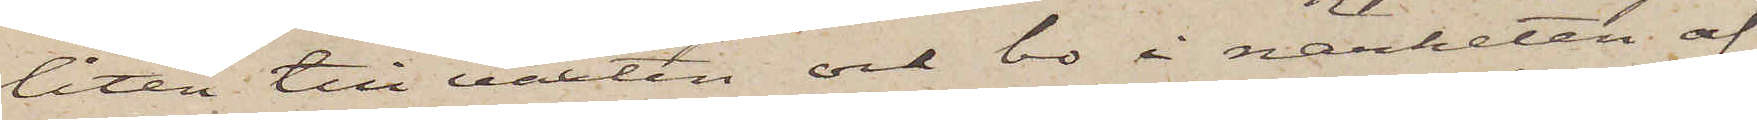liten till växten och bo i närheten af
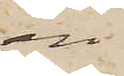en
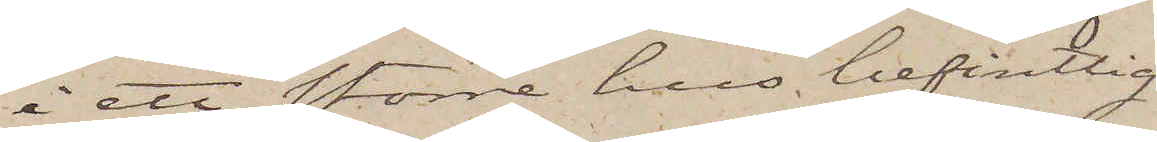i ett större hus befintlig
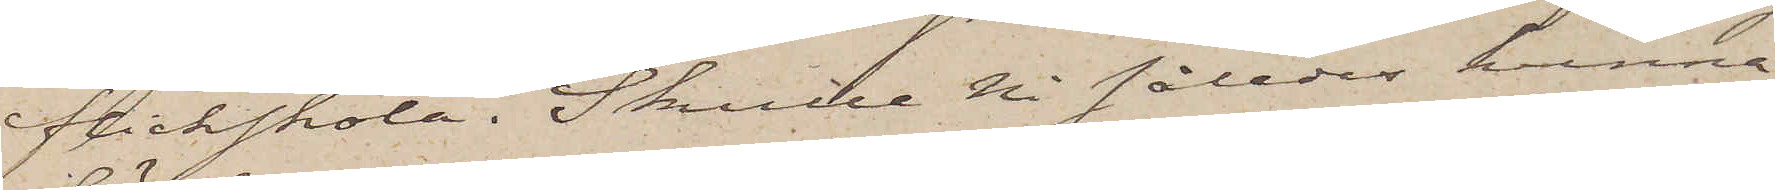flickskola. Skulle Ni således kunna
